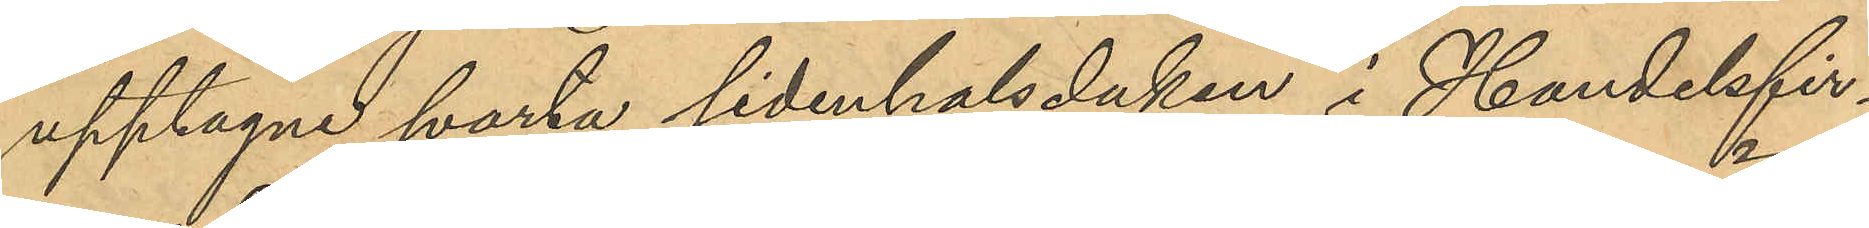upptagne svarta sidenhalsduken i Handelsfir¬
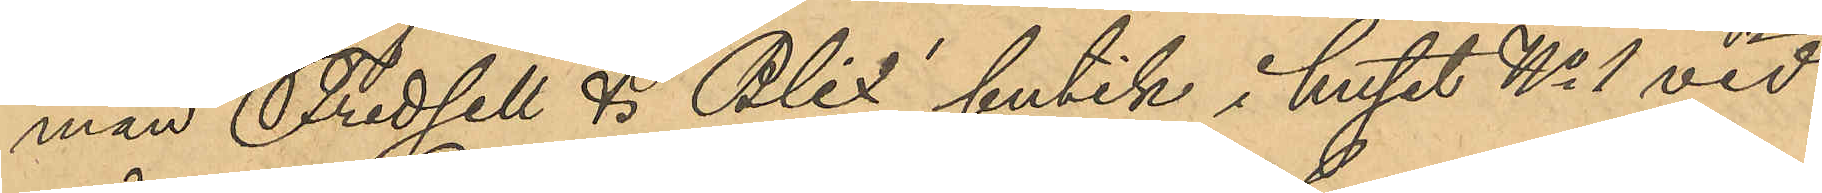man Fridsell & Blix´ butik i huset No 1 vid
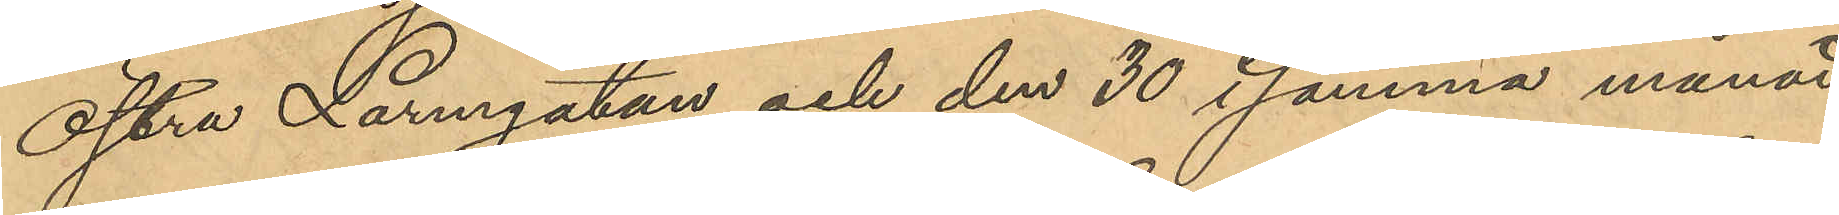Östra Larmgatan och den 30 samma månad
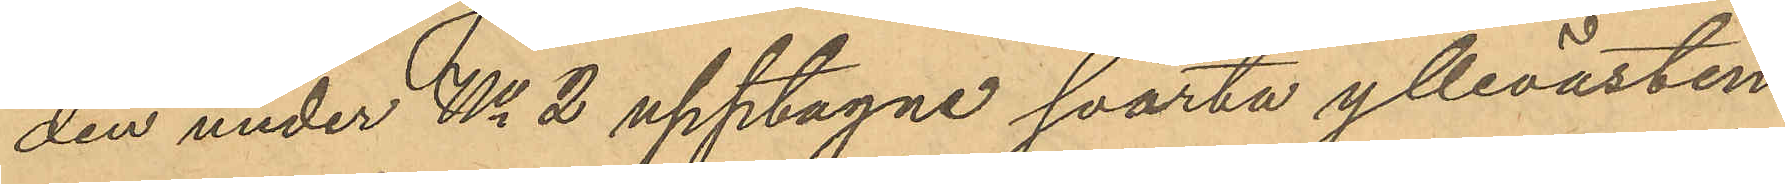den under No 2 upptagne svarta yllevästen
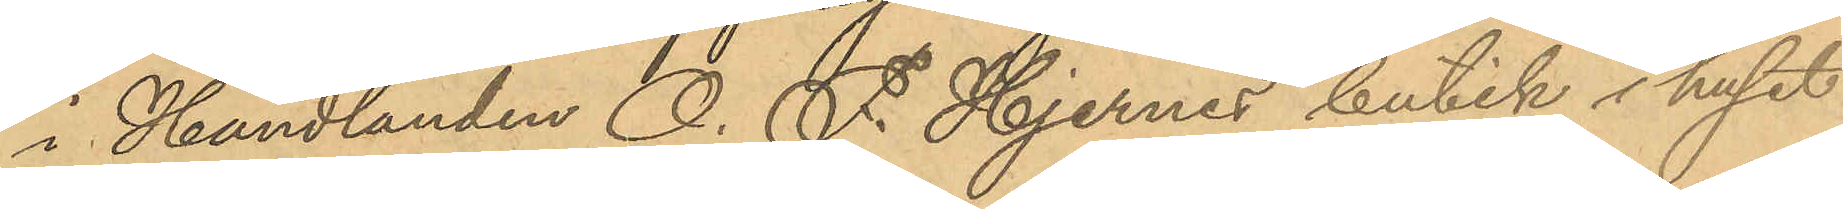i Handlanden O. F. Hjernes butik i huset
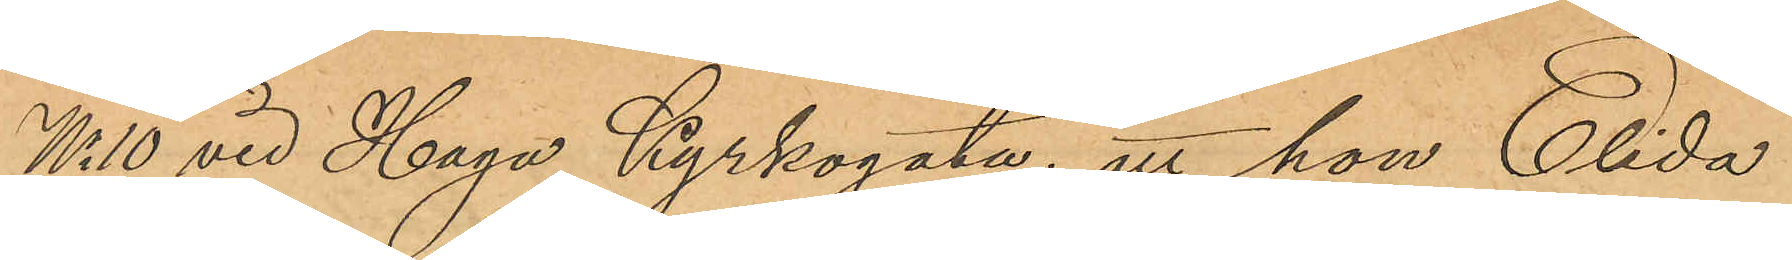No 10 vid Haga Kyrkogata; att hon Elida
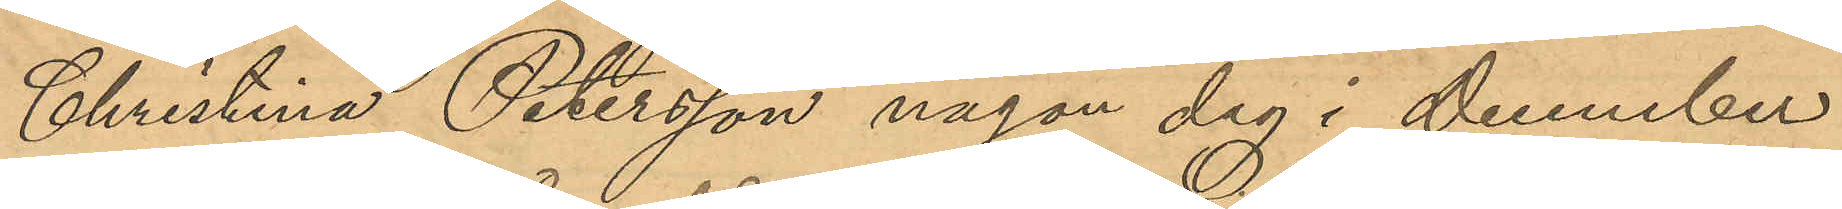Christina Petersson någon dag i December
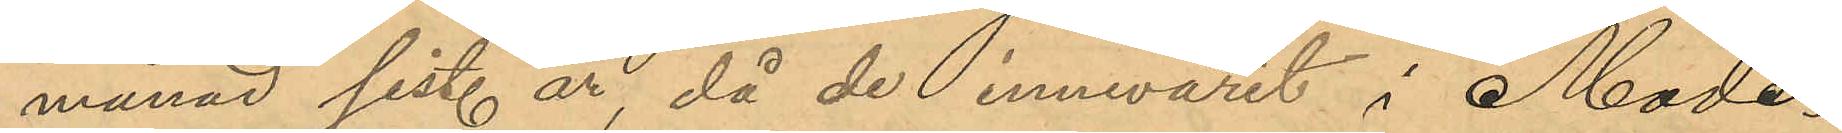månad sist. år, då de innevarit i Mode¬
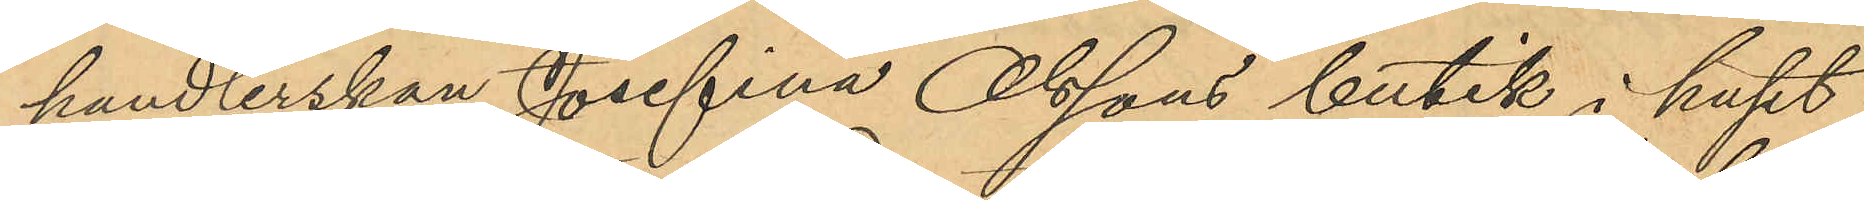handlerskan Josefina Olssons butik i huset
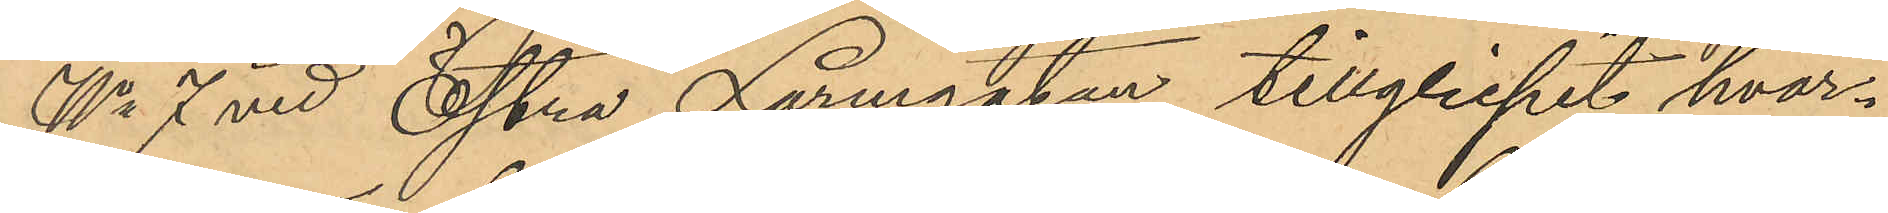No 7 vid Östra Larmgatan tillgripit hvar¬
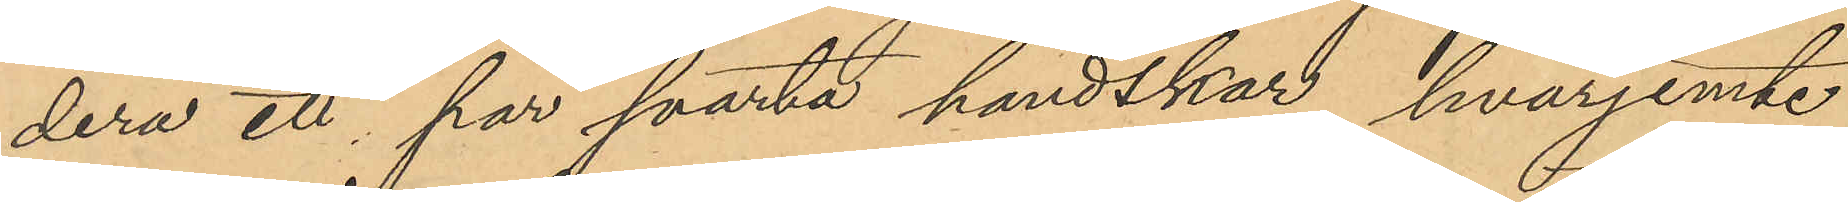dera ett par svarta handskar, hvarjemte
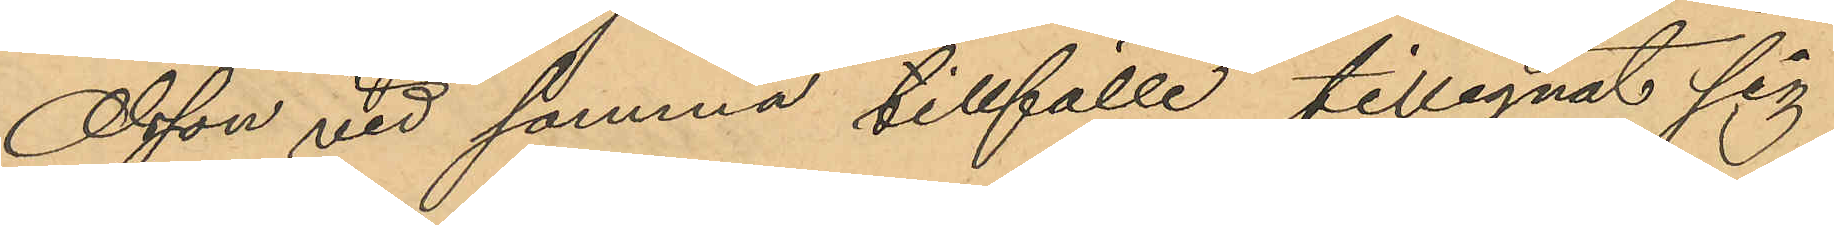Olsson vid samma tillfälle tillegnat sig
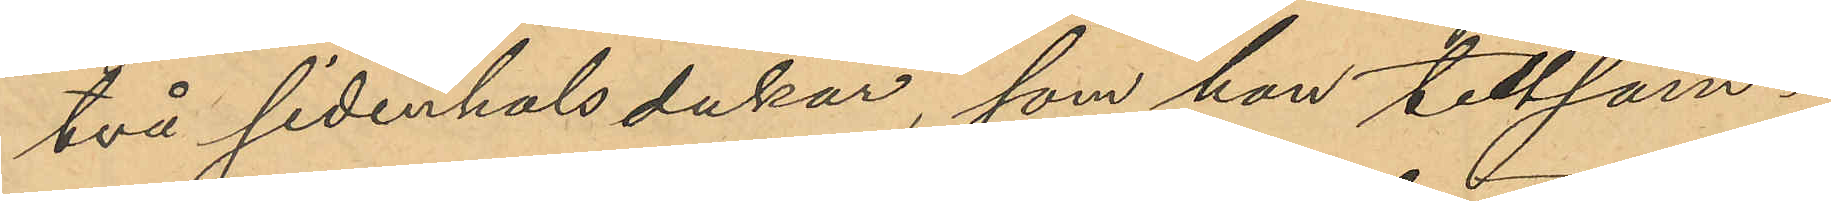två sidenhalsdukar, som hon tillsam¬
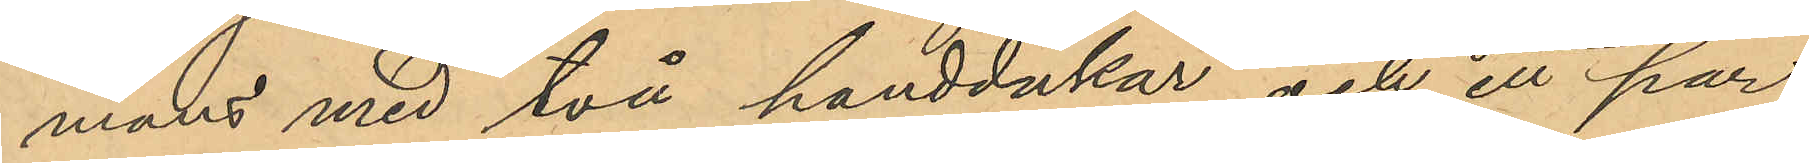mans med två handdukar och ett par
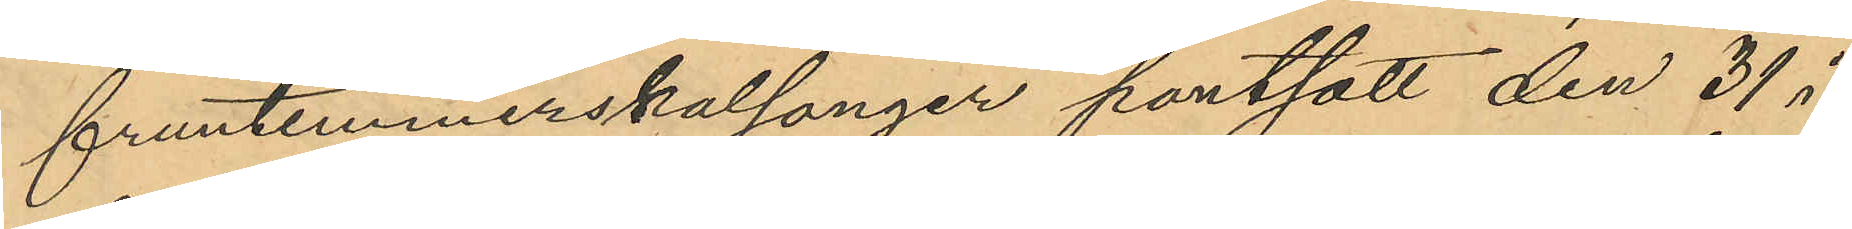fruntimmerskalsonger pantsatt den 31 i
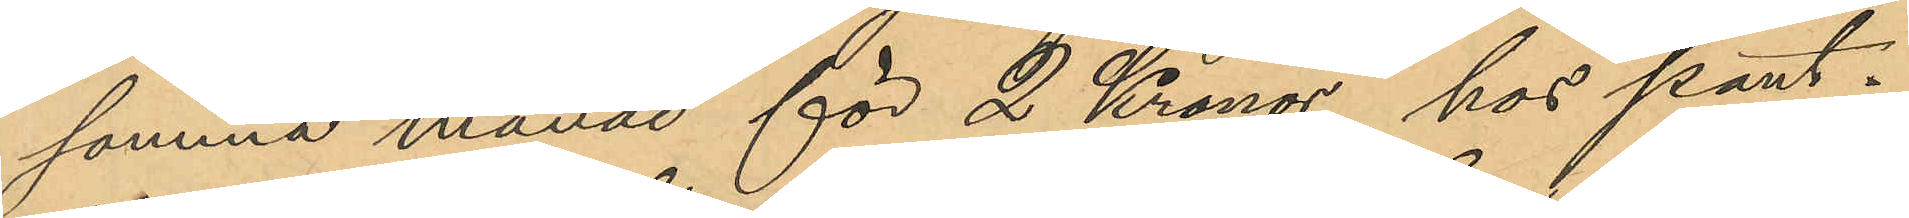samma månad för 2 Kronor hos pant¬
